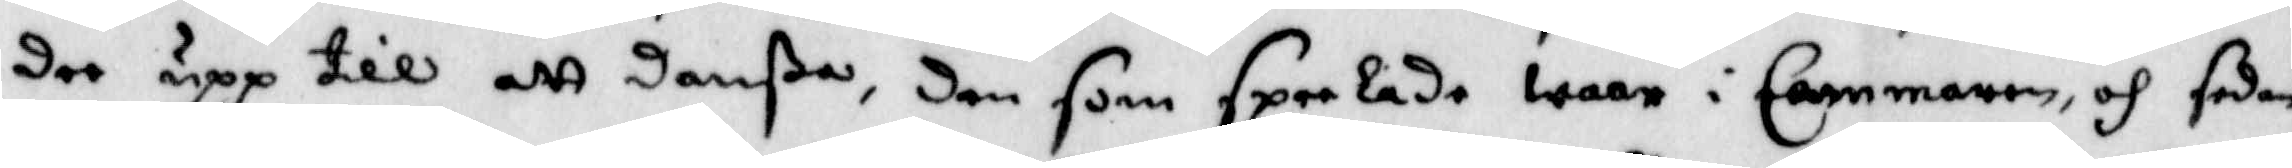dee upp till att danßa, den som speelade waar i Cammaren, och sedan
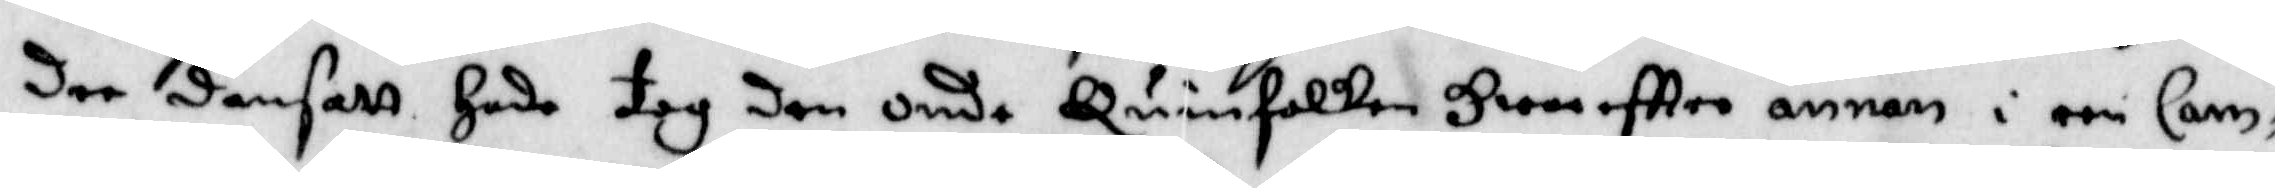dee dansatt hade tog den onde Quinnfolken Hwareftter annan i een Cam¬
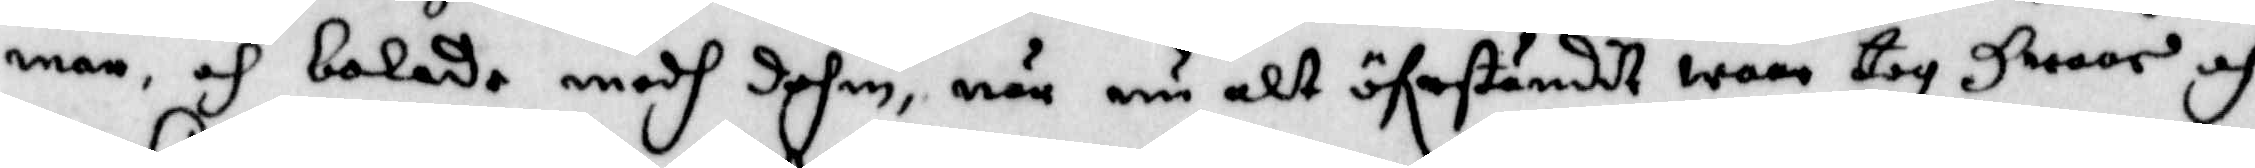mar och bolade medh dehm, när nu alt öferståndit wore tog Hwaar och
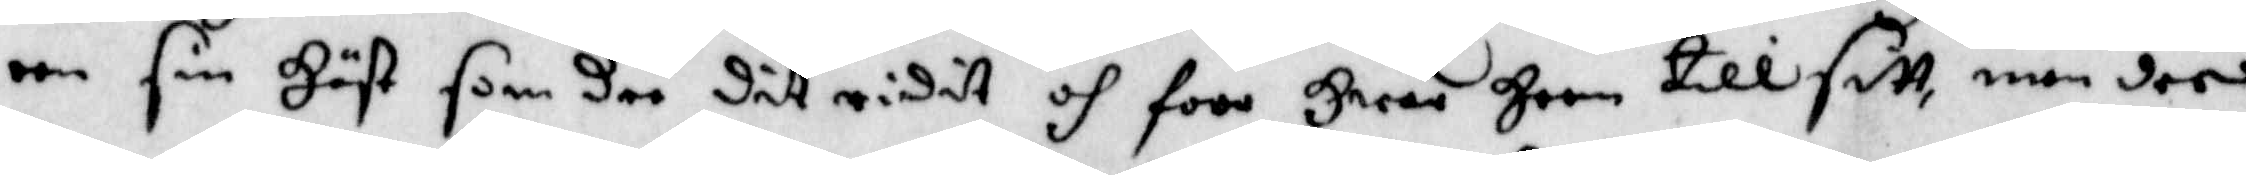een sin Häst som dee dit ridit och foro Hwar Heem till sitt, men dee
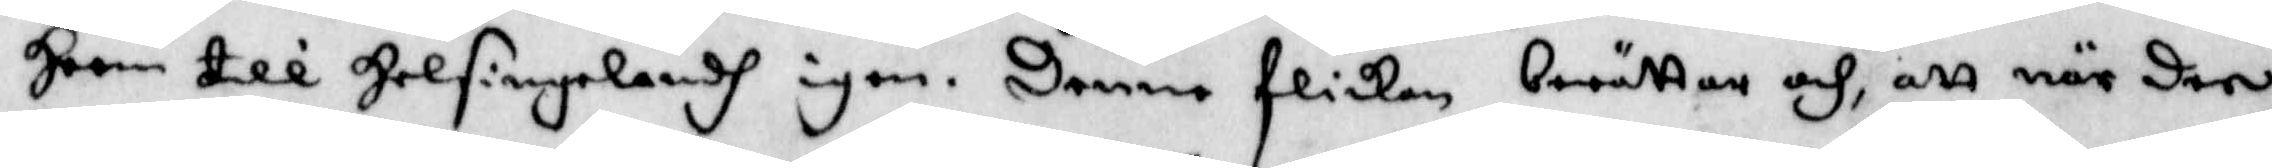Heem till Helsingelandh igen. Denne flickan berättar och, att när den
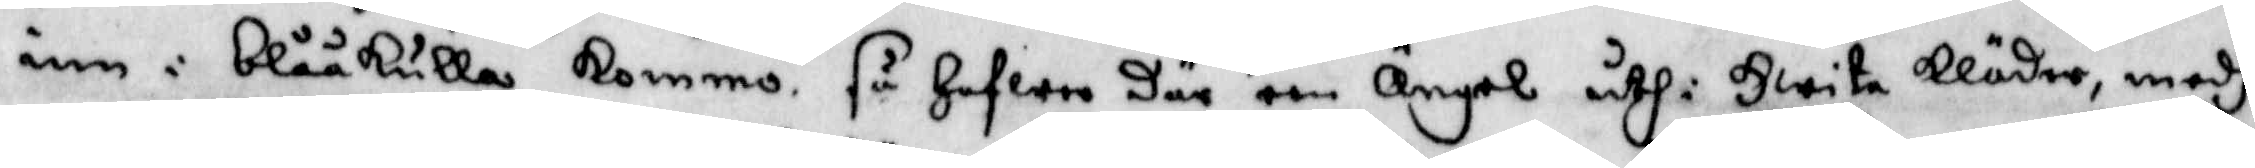inn i blåkulla kommo så hafwer där een Ängel uthi Hwita kläder, medh
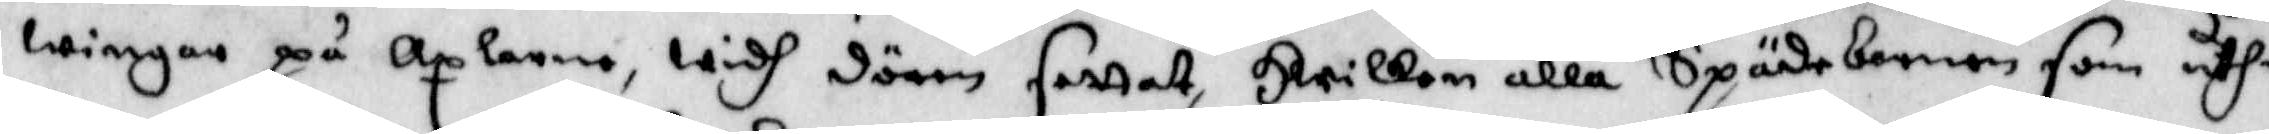wingar på Axlarna, widh dörren fattat, Hwilken alla Spädebarnen som uthi
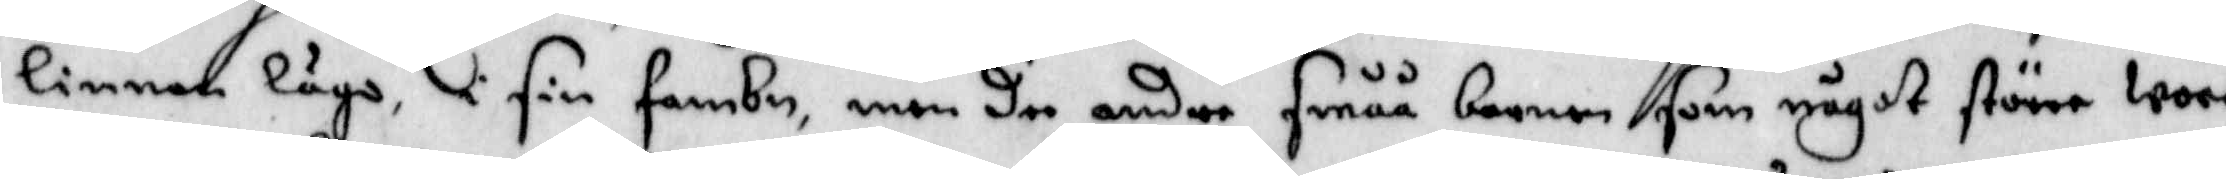linnen lågo, i sin fambn, men dee andre småå barnen som något större woro
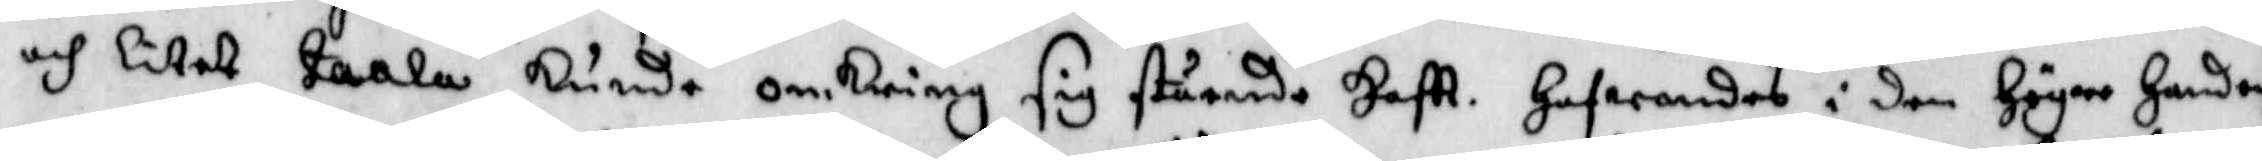och litet taaöa kunde omkring sig stående haftt. Hafwandes i den högra handen
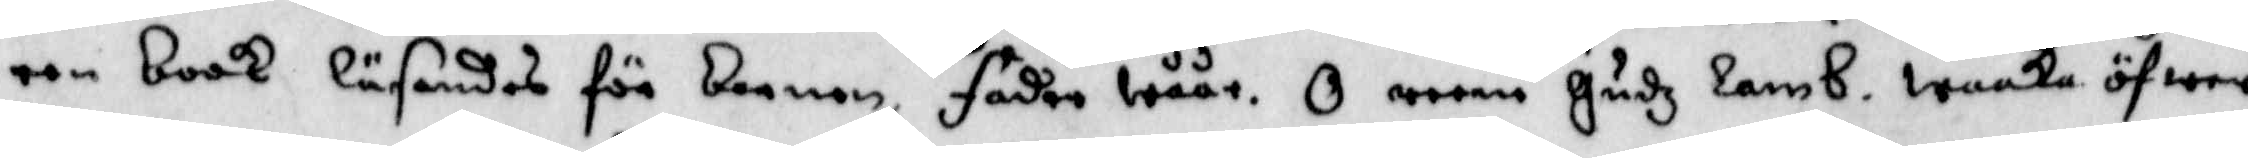een book läsandes för barnen fader wåår. O reena Gudz lamb. waaka öfwer
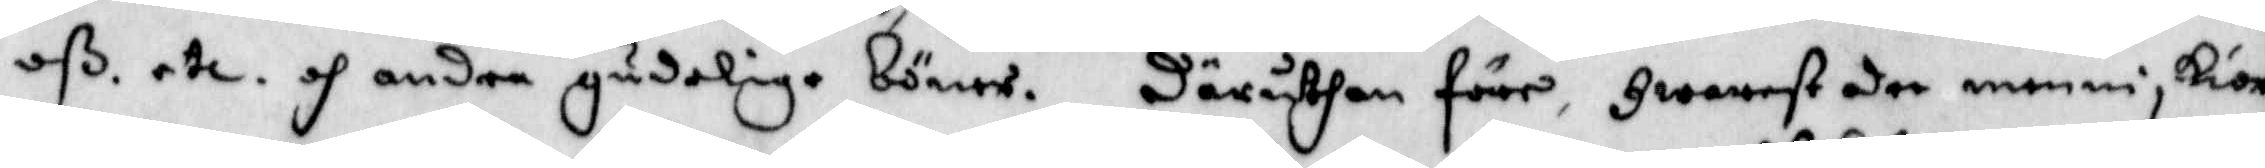oß. etc. och andra gudelige böner. Därutan före, Hwarest dee menniskior
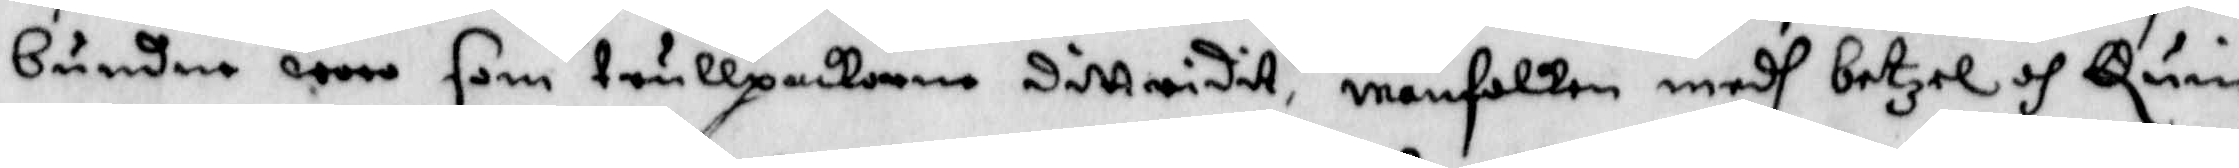bundne wore som trullpackorna ditt ridit, manfolken medh betzel och Quinn¬
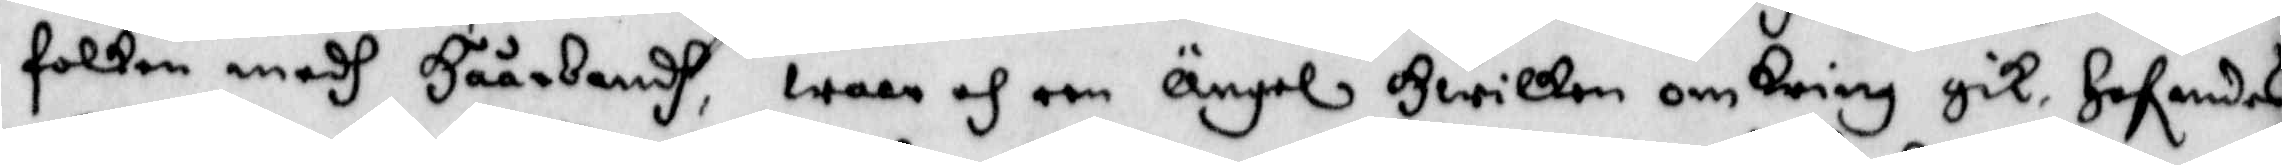folken medh håårbandh, ware och een Ängel Hwilken om kring gik. Hafwandes
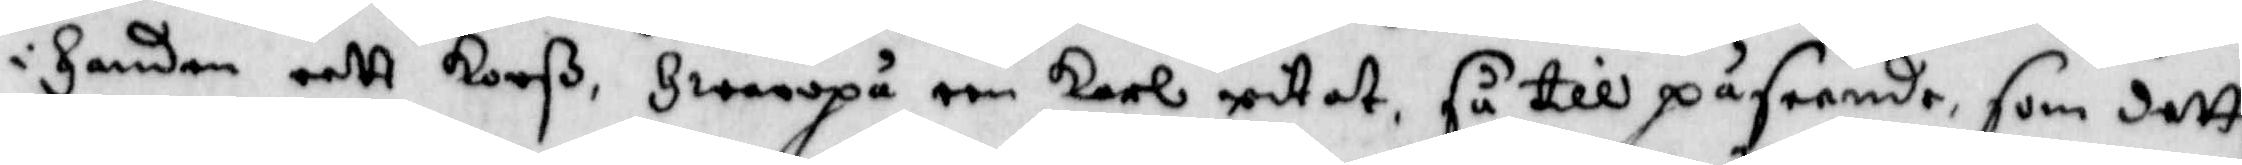i Handen eett korß Hwaropå een karl nitat, så till påseende, som dett
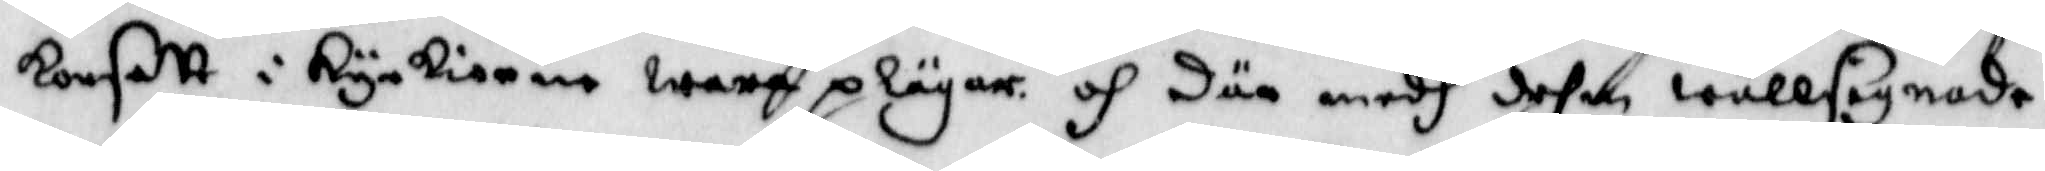korsett i kyrkiorne wara plägar och där medh dehm wällsignade.
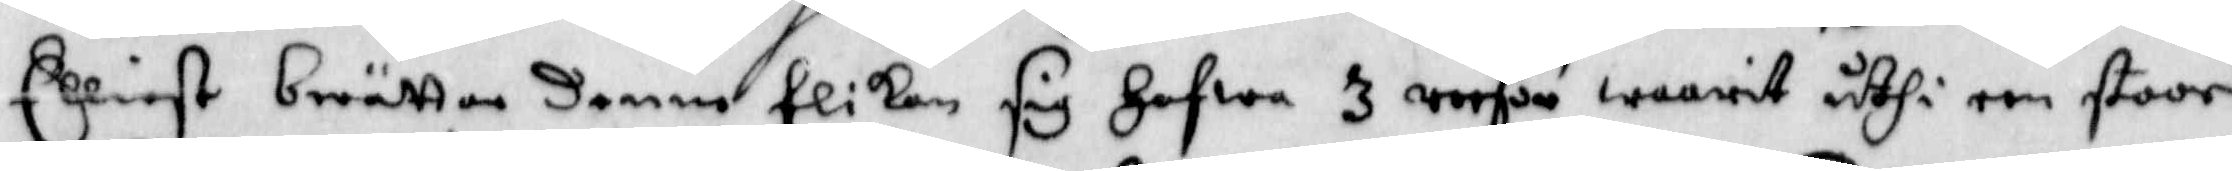Elliest berättar denne flikan sig hafwa 3 reesor warit uthi een stoor
